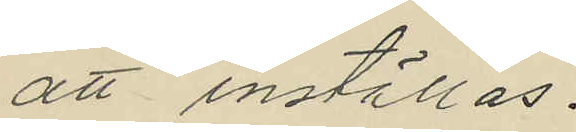att inställas.
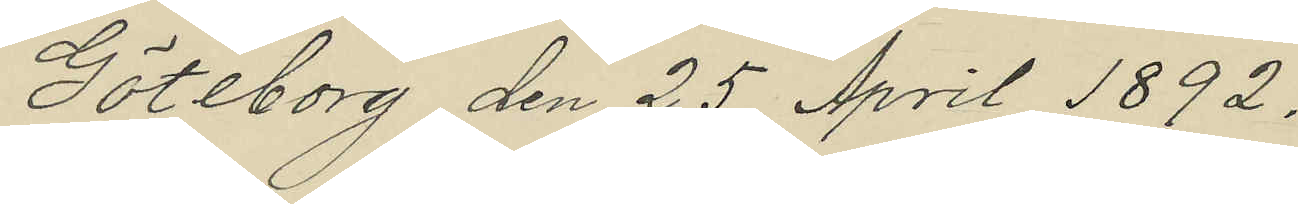Göteborg den 25 April 1892.
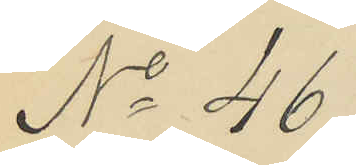No 46.
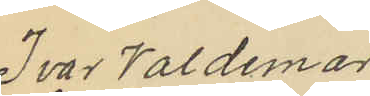Ivar Valdemar
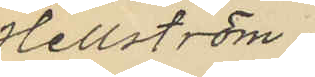Hellström,
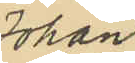Johan
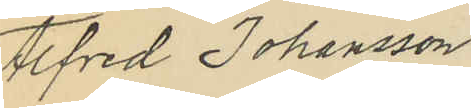Alfred Johansson
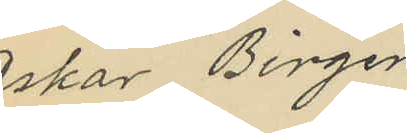Oskar Birger
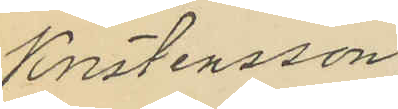Kristensson
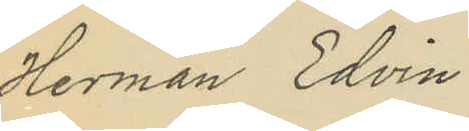Herman Edvin
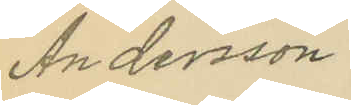Andersson.
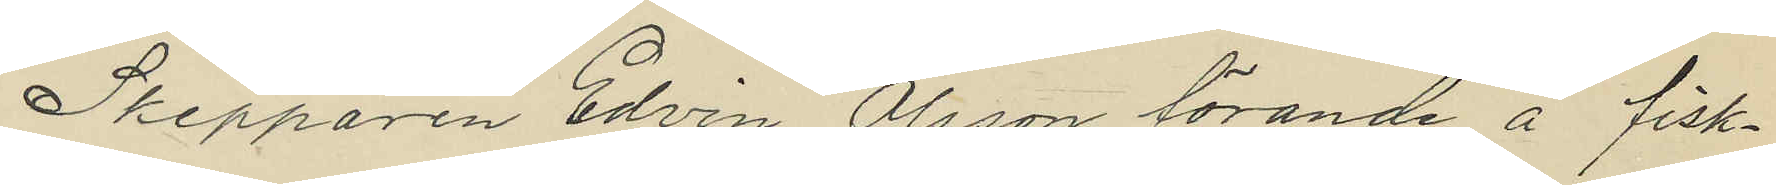Skepparen Edvin Olsson förande å fisk¬
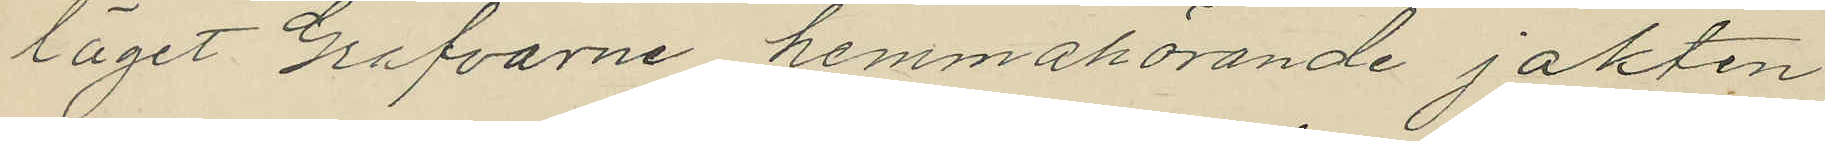läget Grafvarne hemmahörande jakten
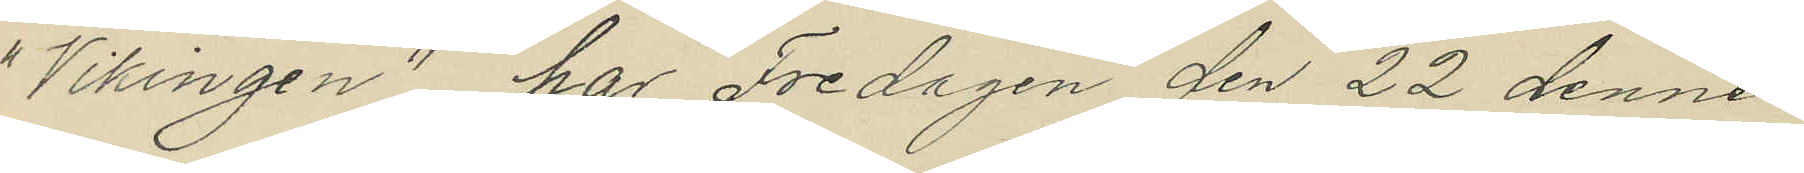"Vikingen", har Fredagen den 22 dennes
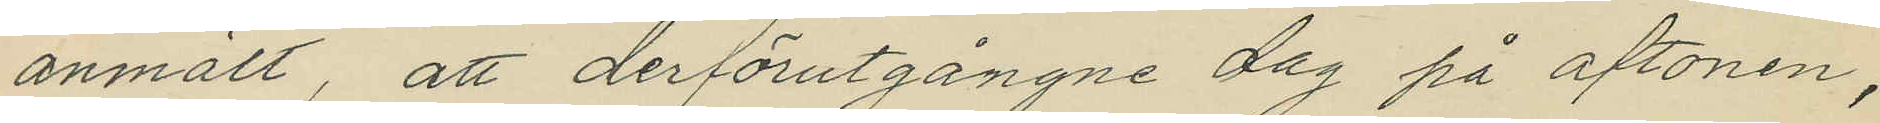anmält, att derförutgångne dag på aftonen,
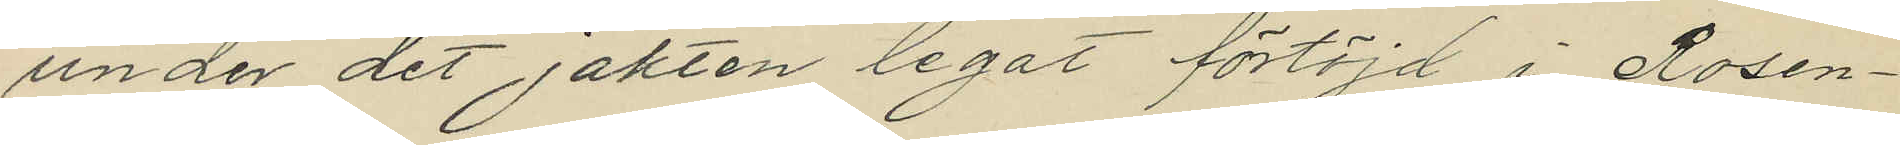under det jakten legat förtöjd i Rosen¬
